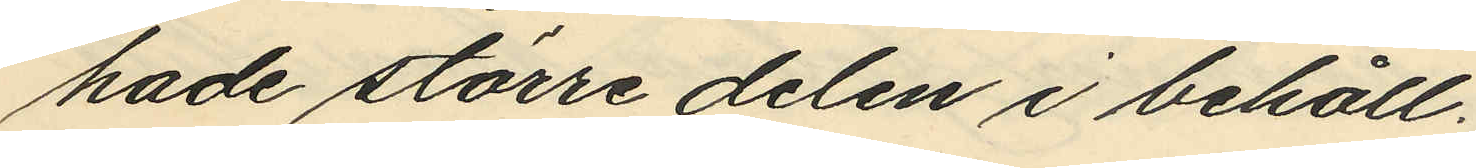hade större delen i behåll.
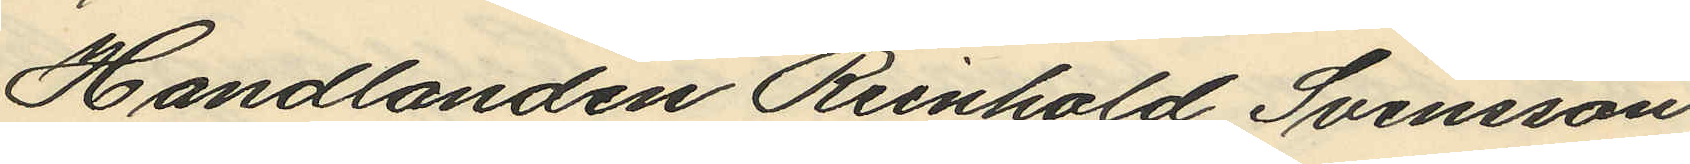Handlanden Reinhold Svensson
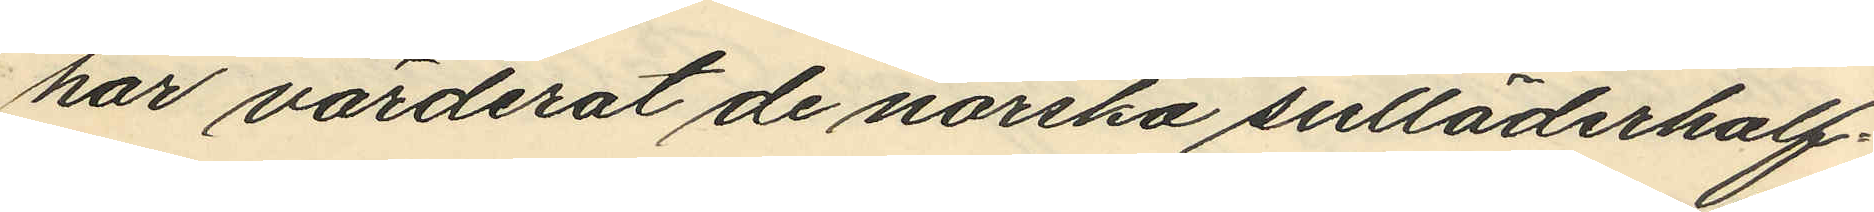har värderat de norska sulläderhalf¬
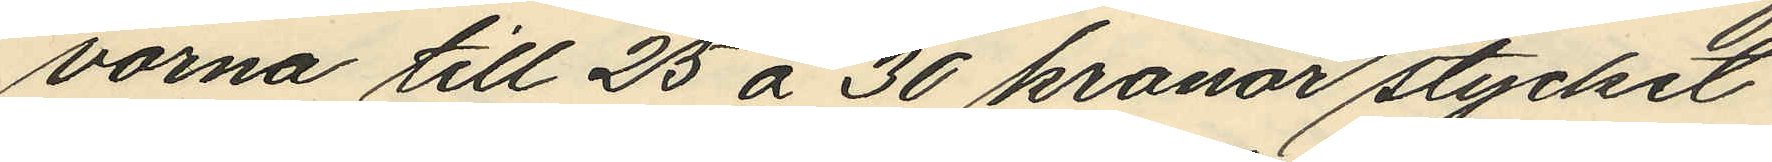vorna till 25 á 30 kronor stycket
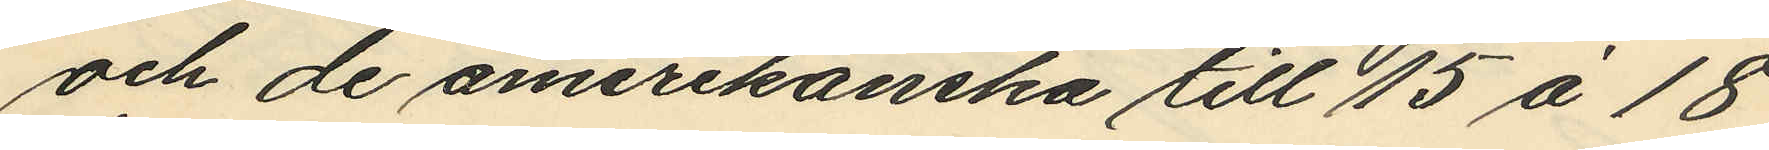och de amerikanska till 15 á 18
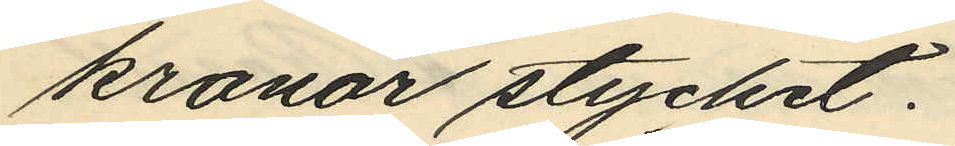kronor stycket.
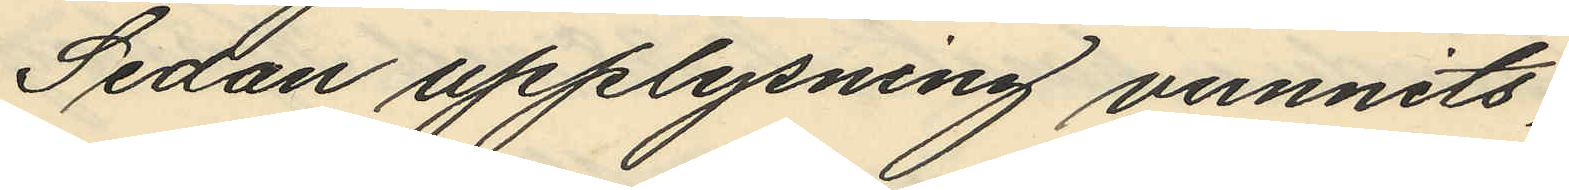Sedan upplysning vunnits,
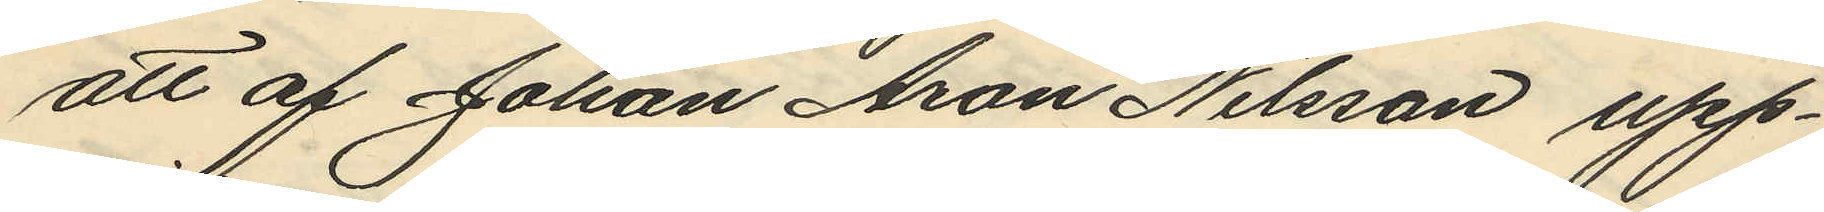att af Johan Aron Nilsson upp¬
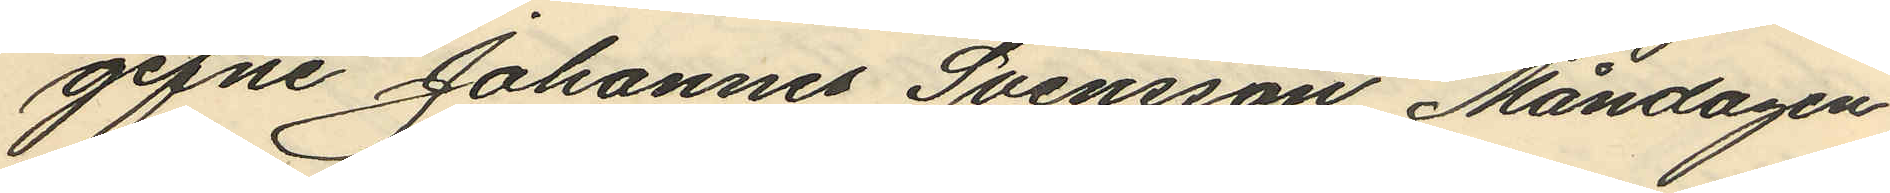gifne Johannes Svensson, Måndagen
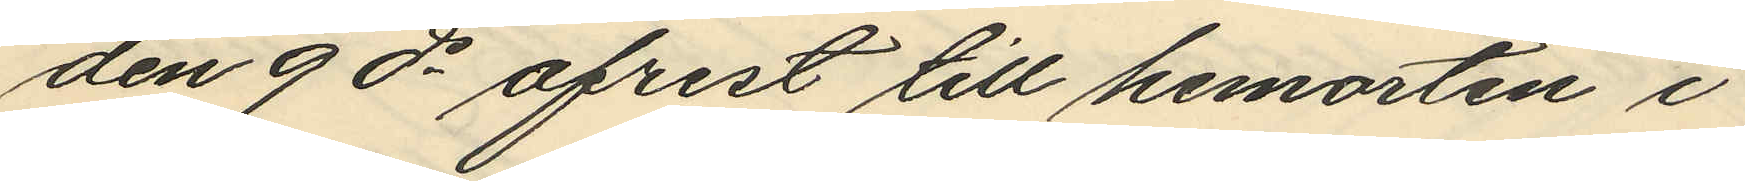den 9 ds afrest till hemorten i
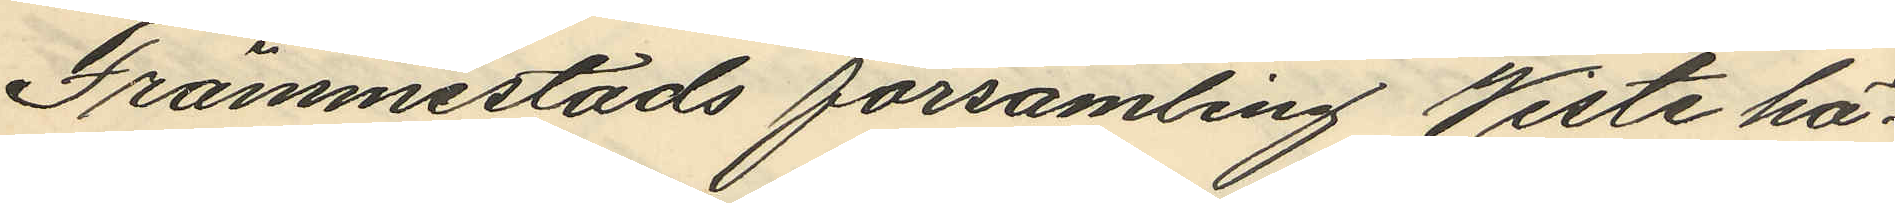Främmestads församling Viste hä¬
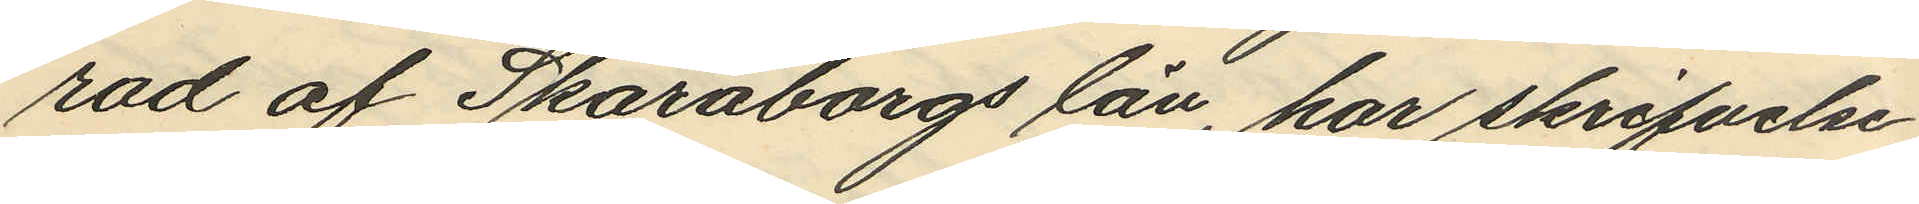rad af Skaraborgs län, har skrifvelse
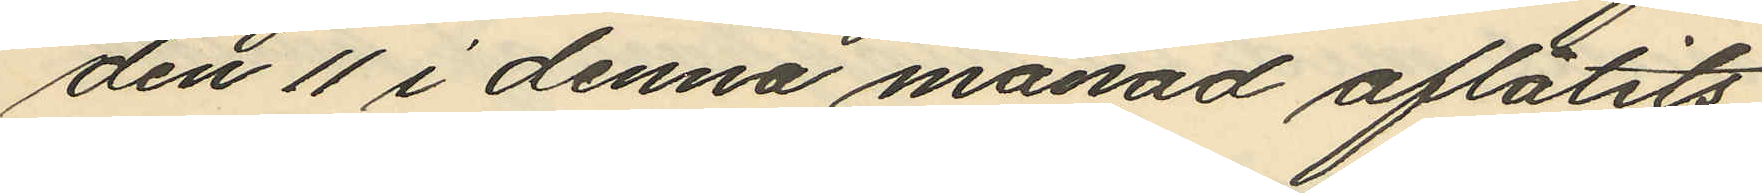den 11 i denna månad aflåtits
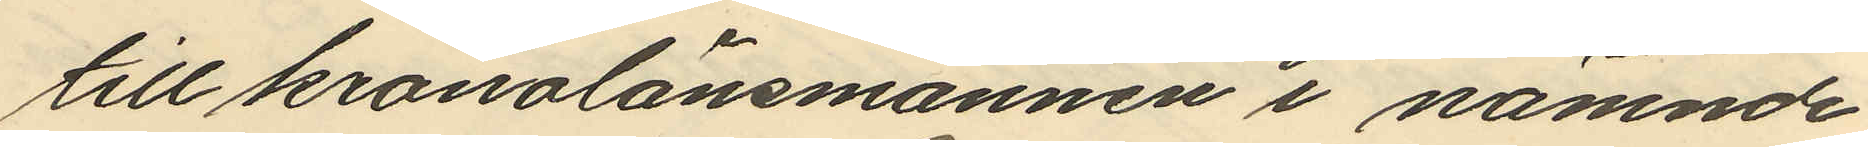till kronolänsmannen i nämnde
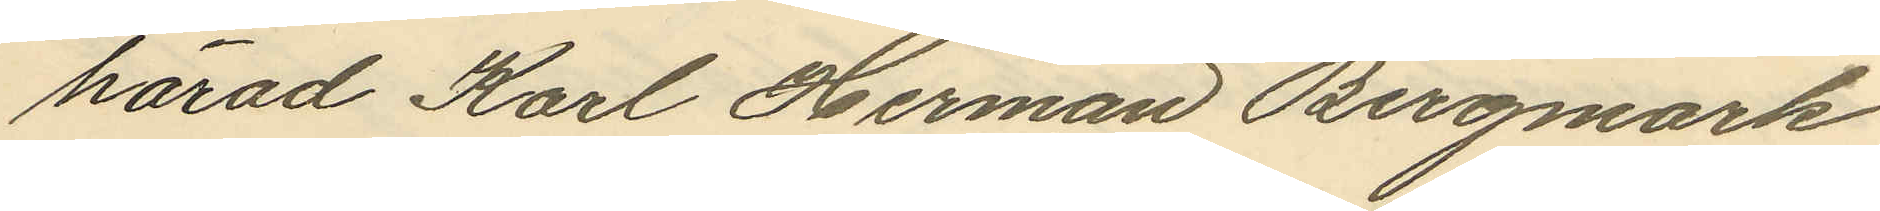härad Karl Herman Bergmark
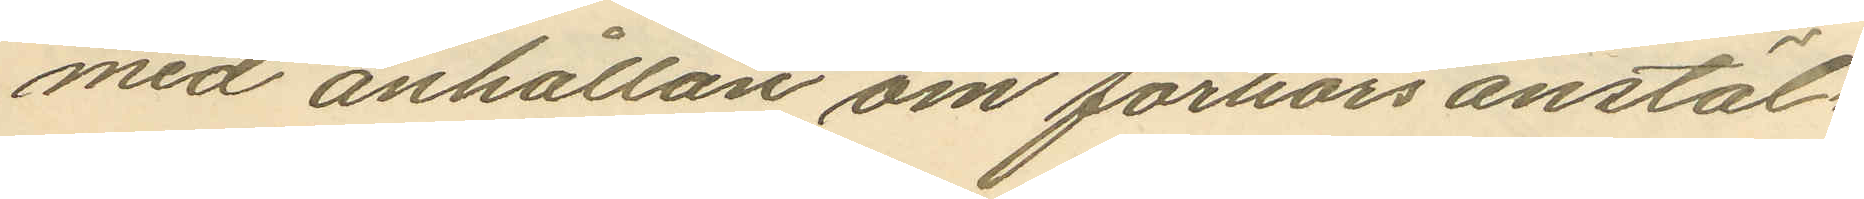med anhållan om förhörs anstäl¬
